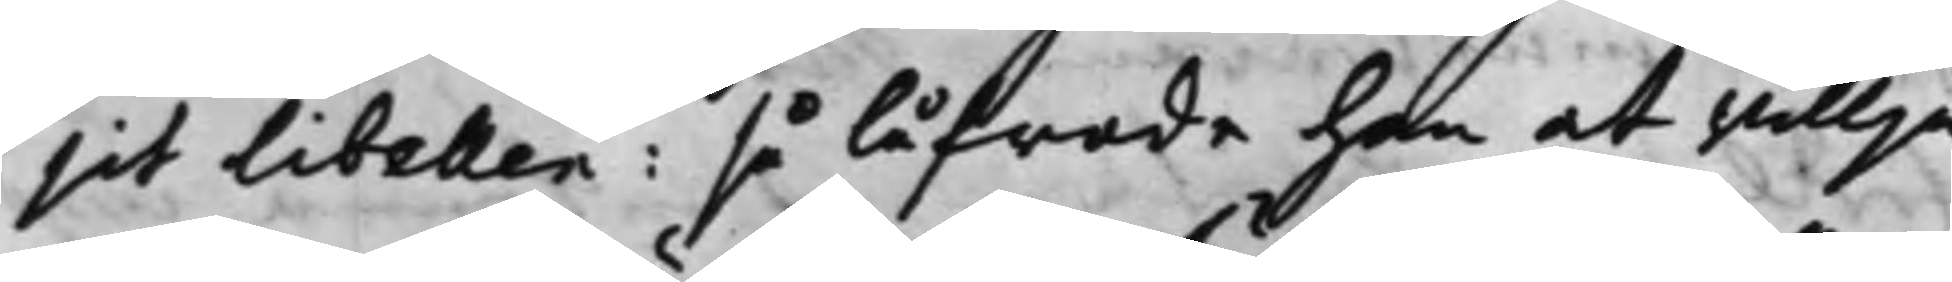sit Libellen: så låfwade han at willja
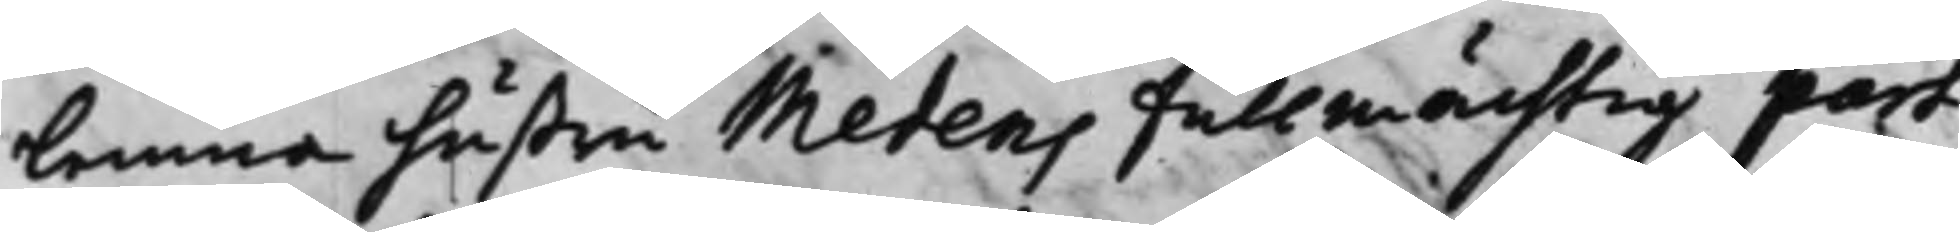Lemna hustru Medens fullmächtig part
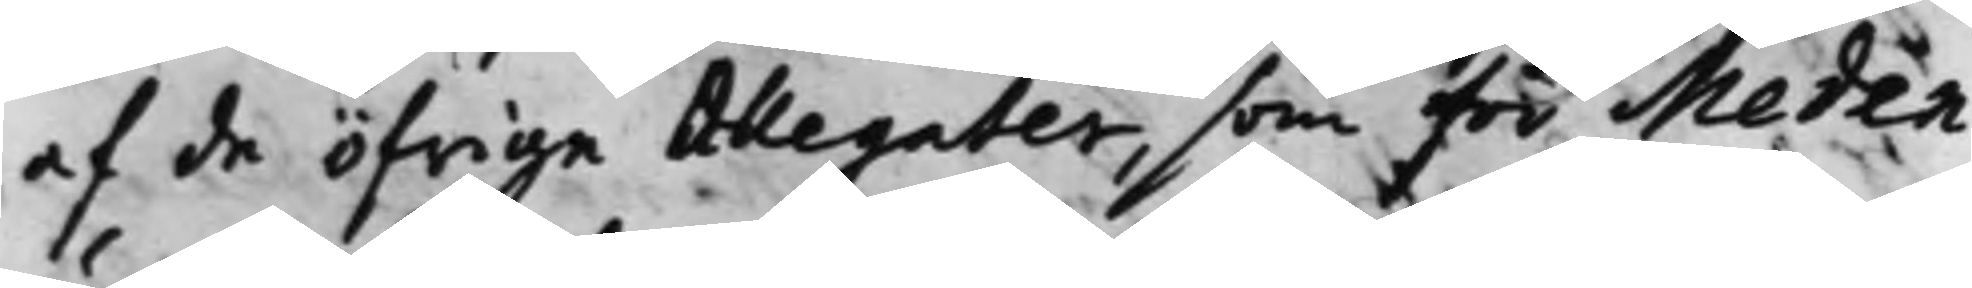af de öfrige Allegater, som för Meden
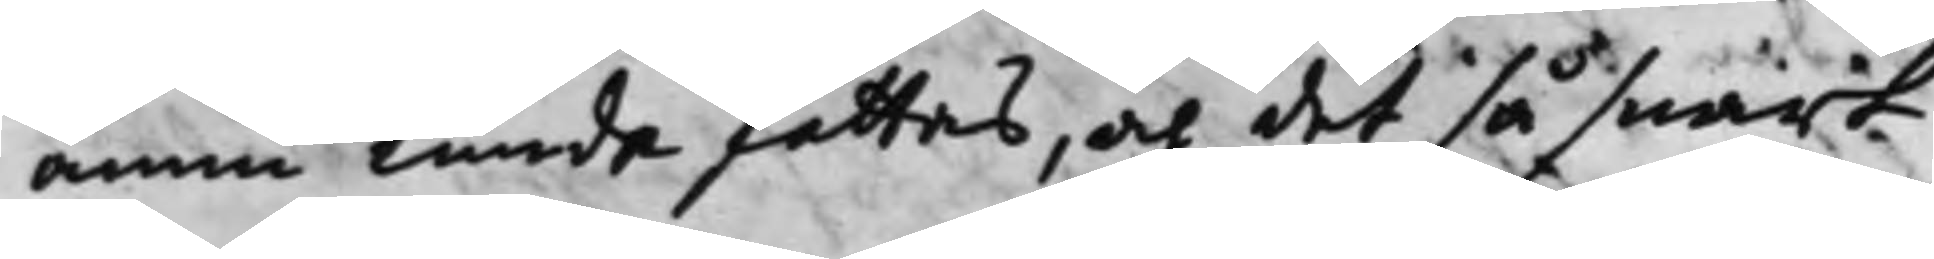ännu kunde fattas, och det så snart
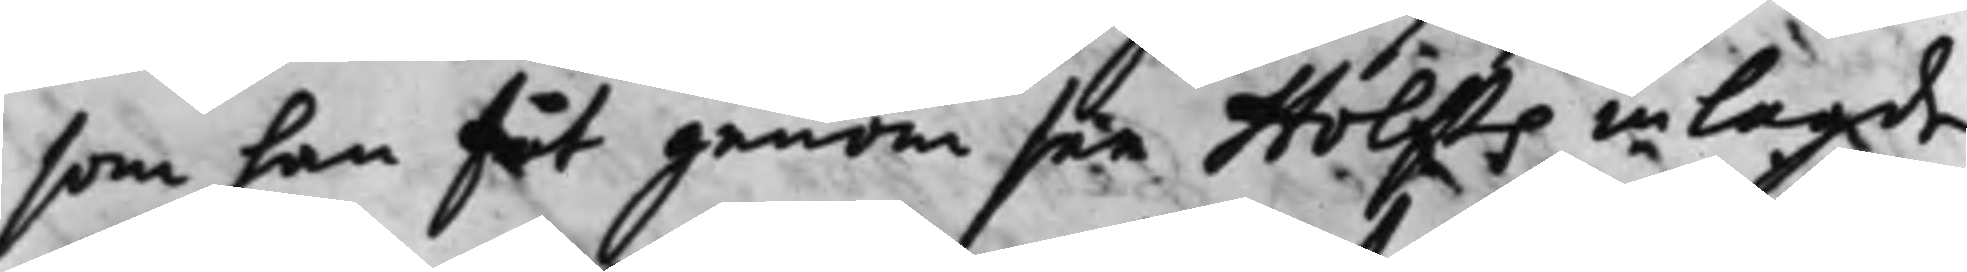som han fåt genom sin Holsts inlagde
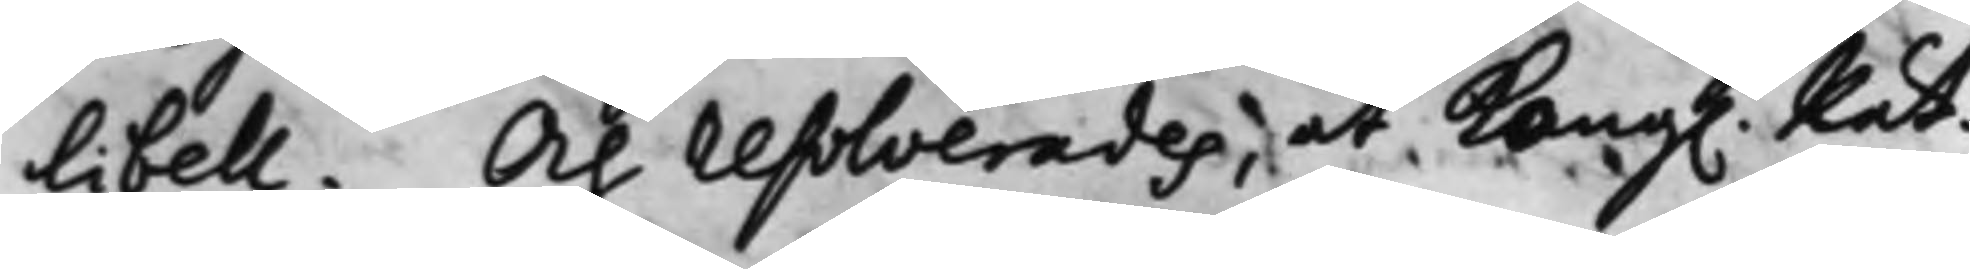Libell. Och resolverades, at Kong. Rät¬
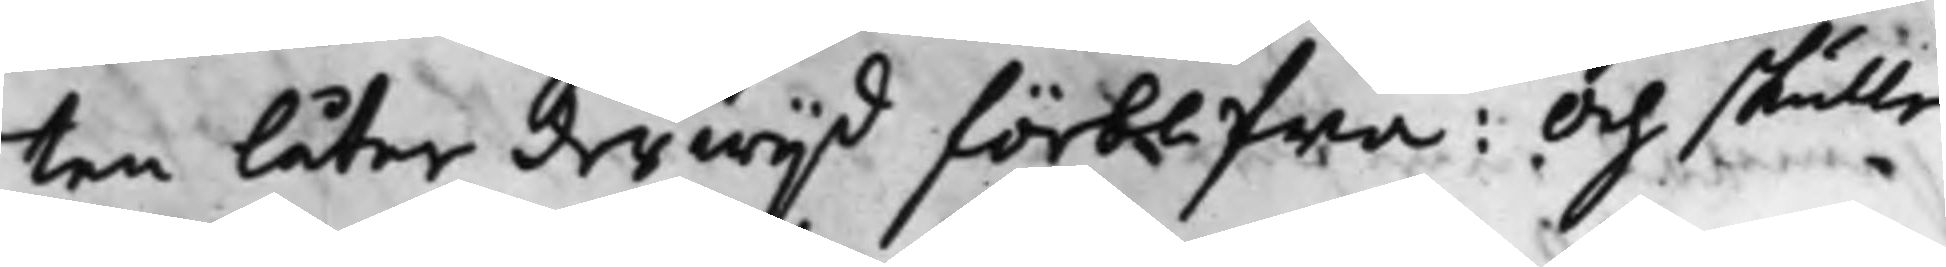ten Låter derwijd förblifwa: Och skulle
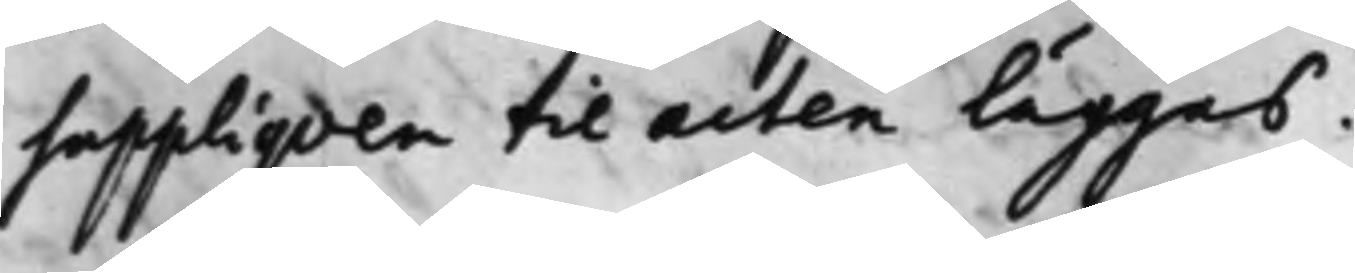suppliqven till acten läggas.
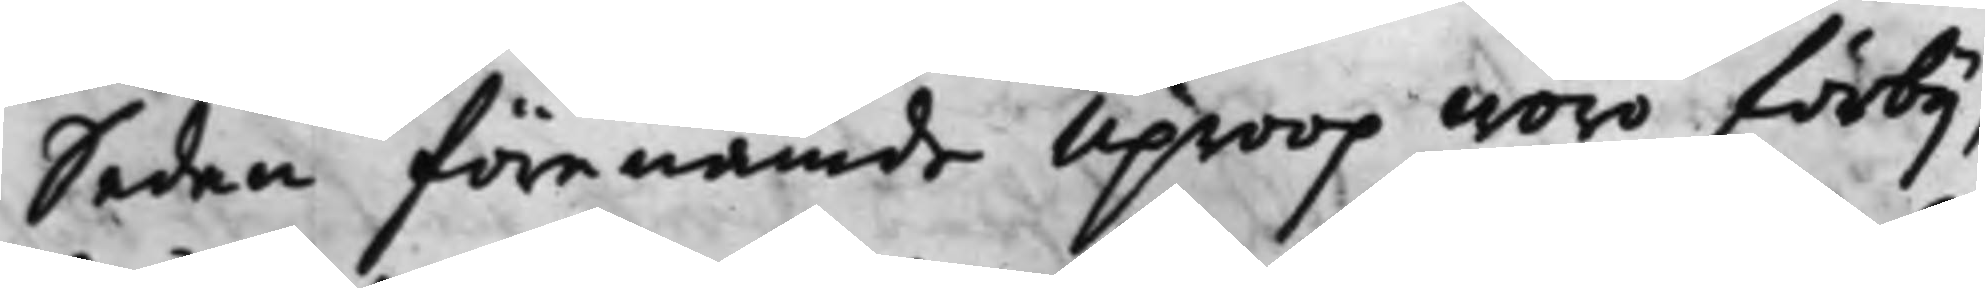Sedan förenämde Uproop woro förbij,
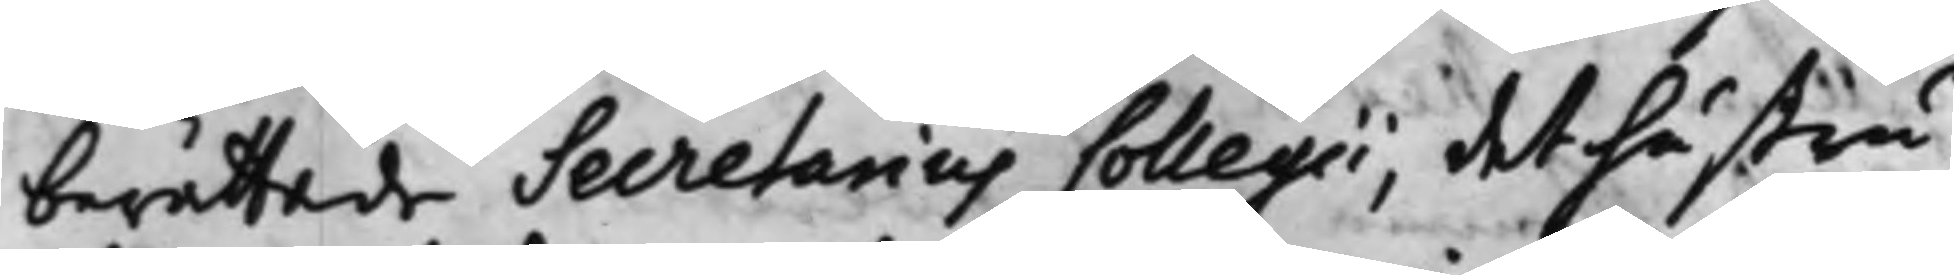berättade Secretarius Collegii, det hustru
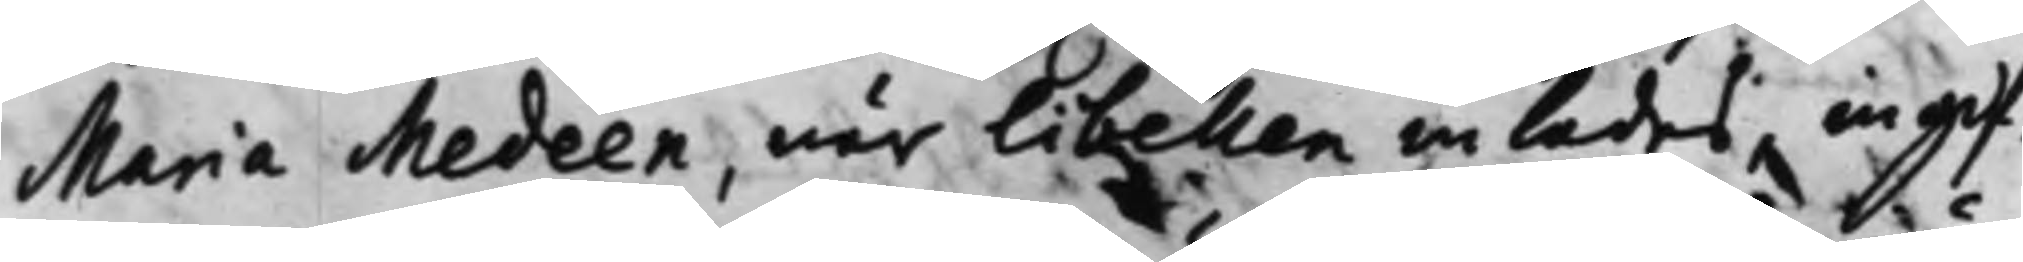Maria Medeen, när Libellen inlades ingif¬
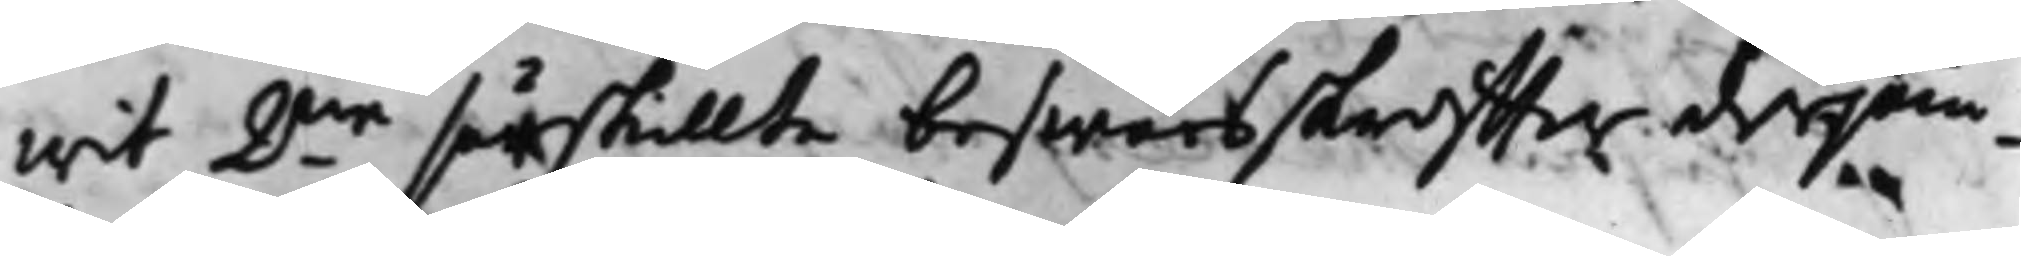wit 2.ne särskillte beswärsskriffter derjäm¬
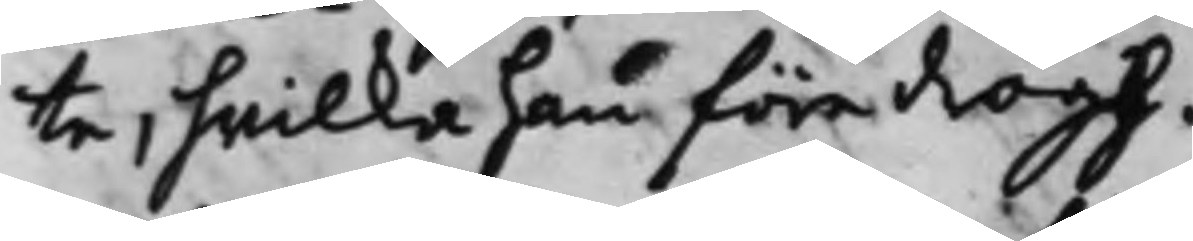te, hwilka han föredrogh.
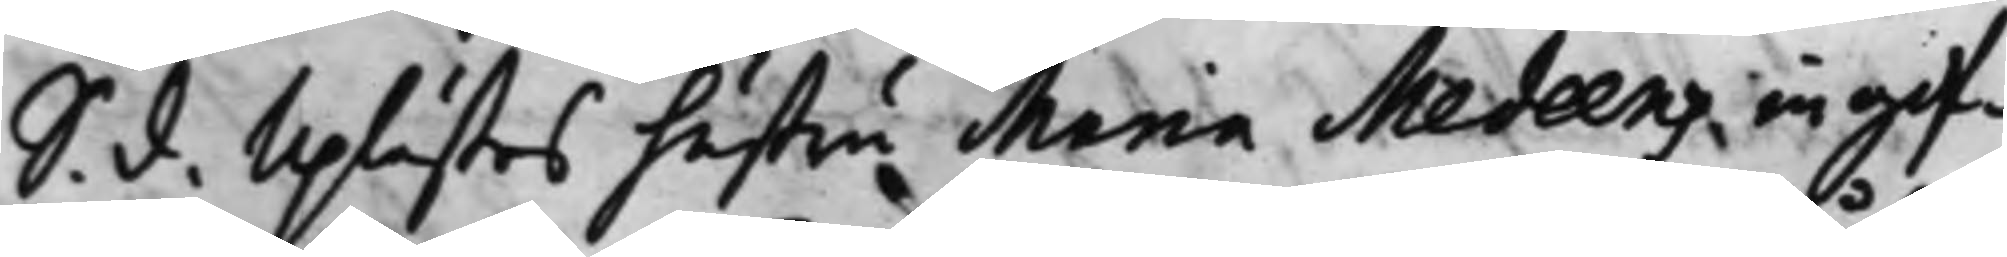S. d. Uplästes hustru Maria Medeens ingif¬
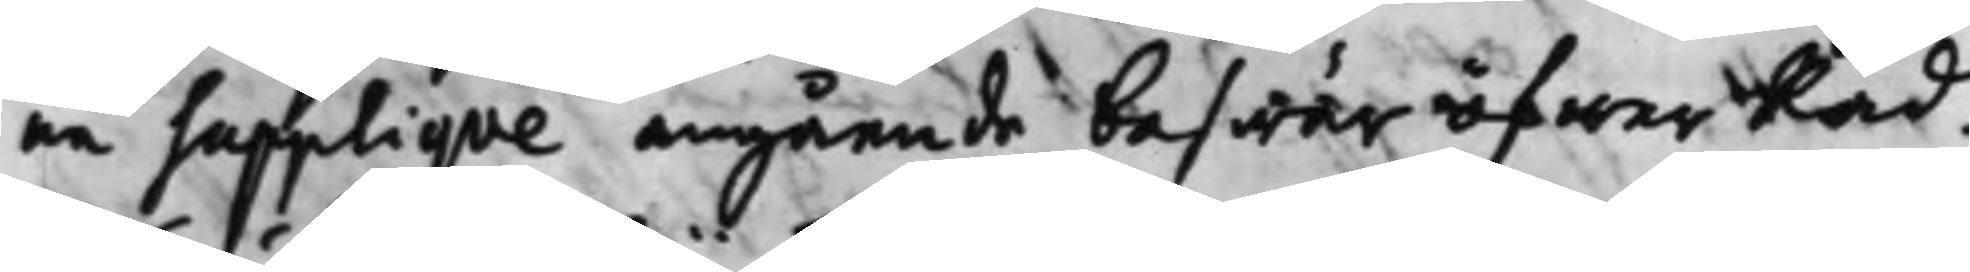ne Supplique angående beswär öfwer Råd¬
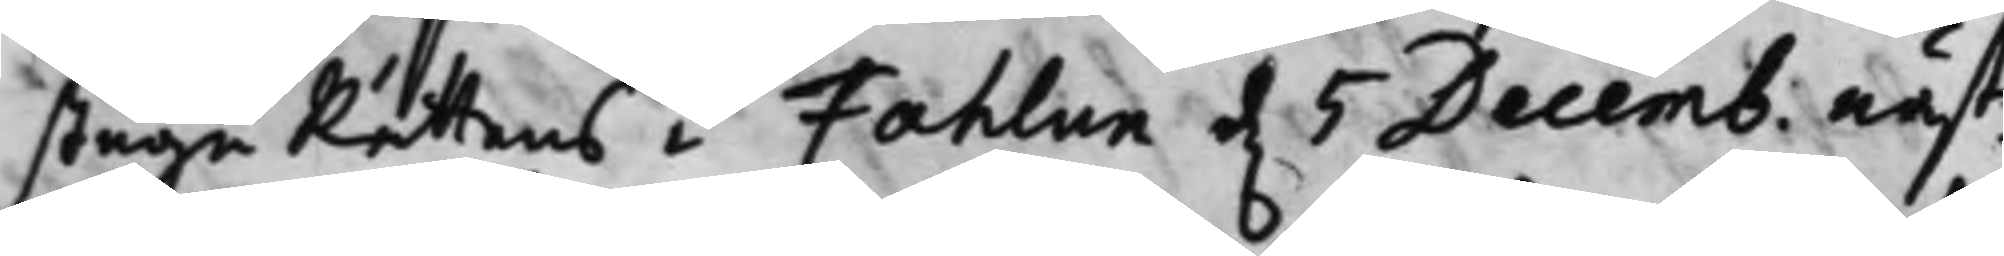stuguRättens i Fahlun d. 5 Decemb. näst¬
